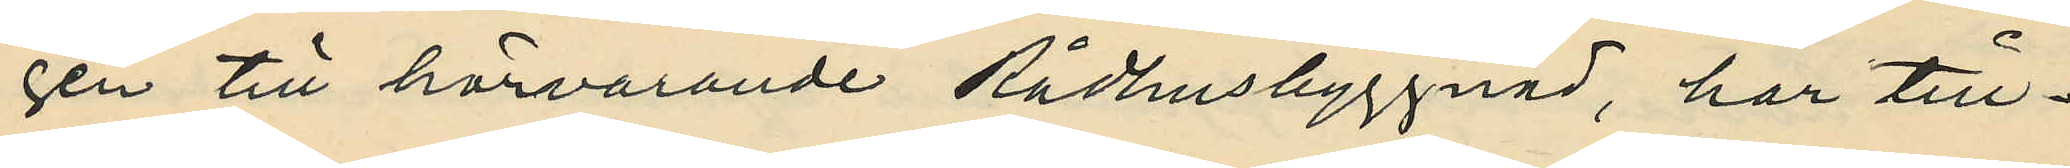gen till härvarande Rådhusbyggnad, har till¬
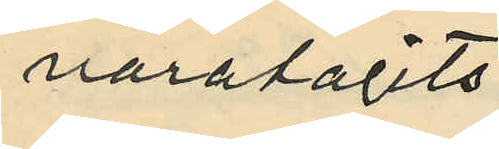varatagits.
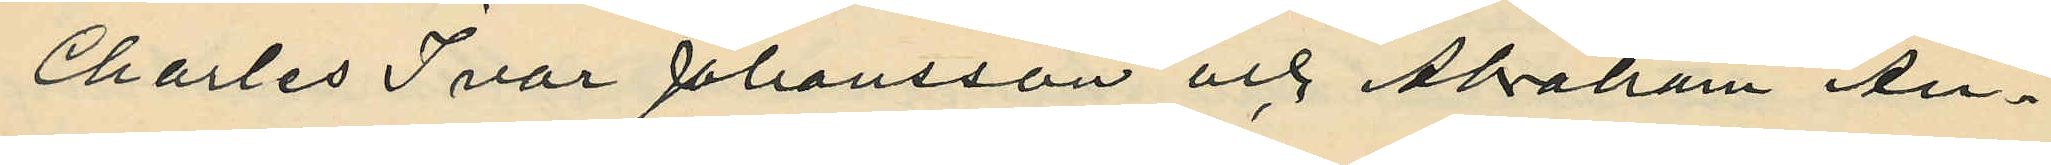Charles Ivar Johansson och Abraham An¬
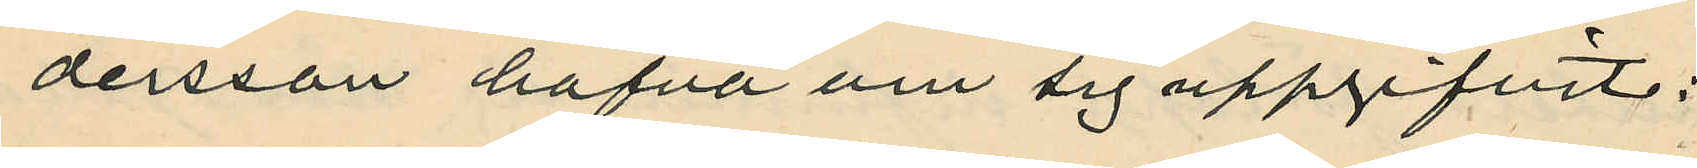dersson hafva om sig uppgifvit:
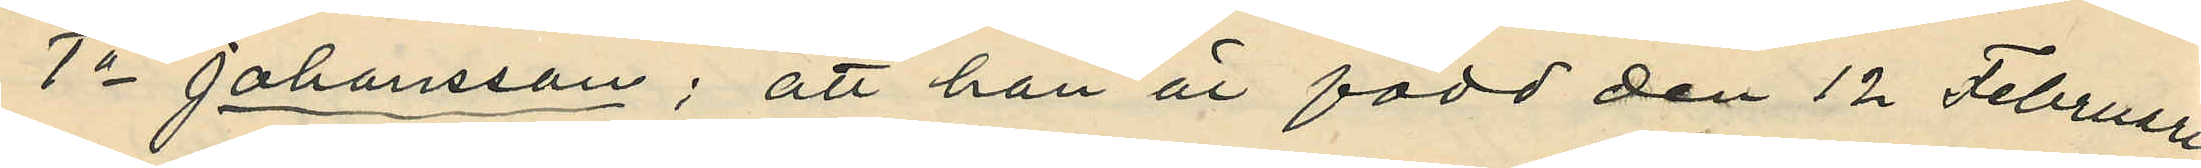1o Johansson; att han är född den 12 Februari
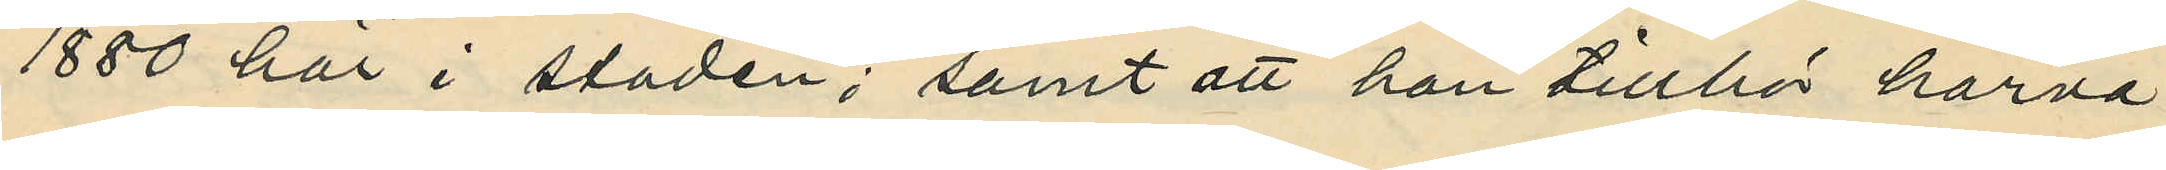1880 här i staden; samt att han tillhör härva¬
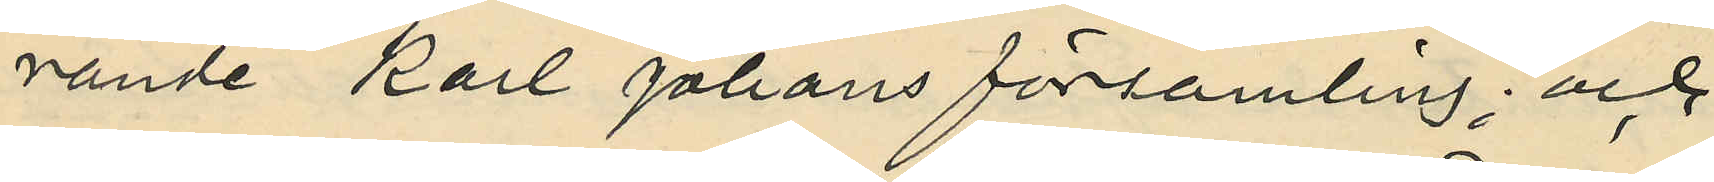rande Karl Johans församling; och
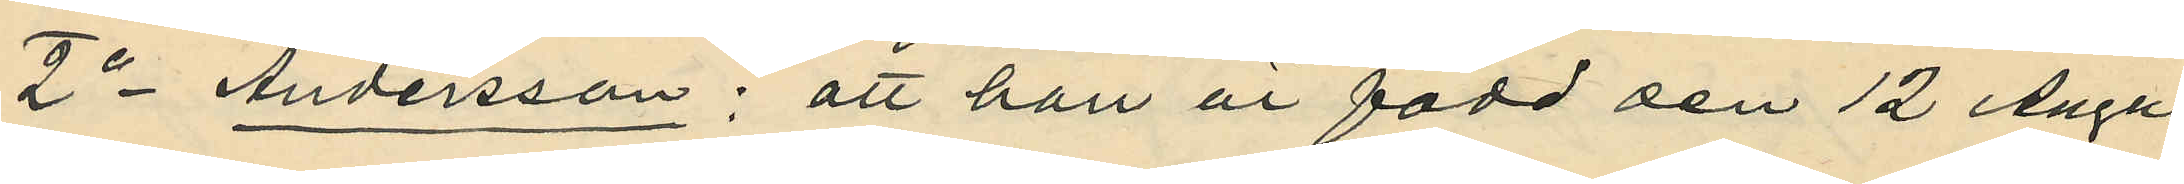2o Andersson; att han är född den 12 Augu¬
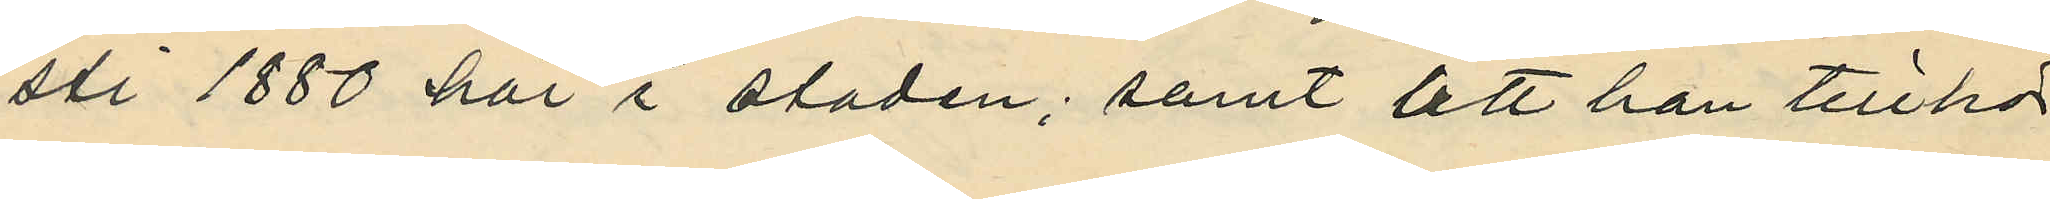sti 1880 här i staden; samt att han tillhör
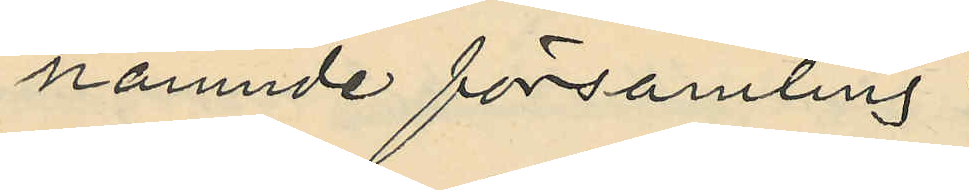nämnde församling.
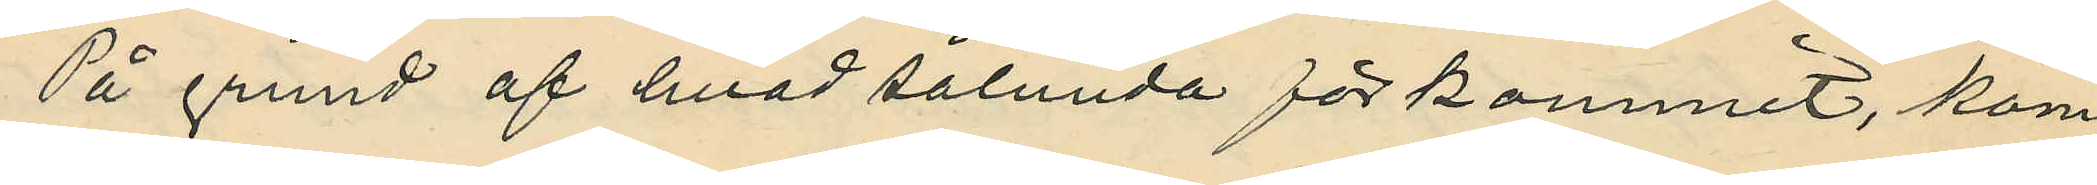På grund af hvad sålunda förkommit, kom¬
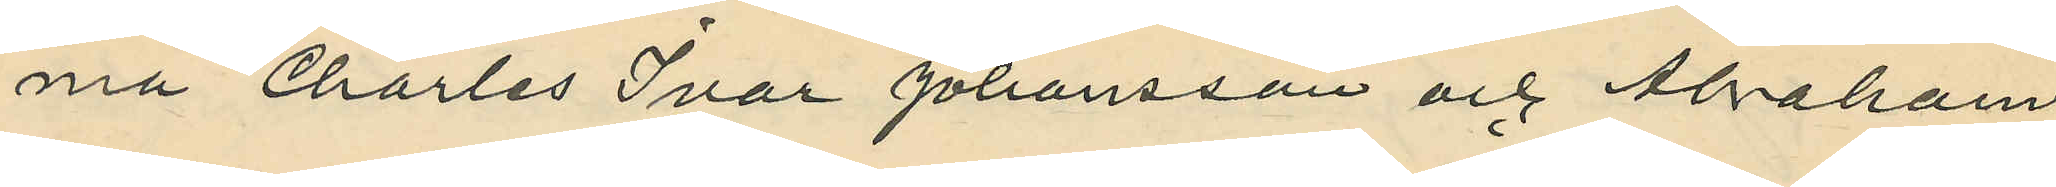ma Charles Ivar Johansson och Abraham
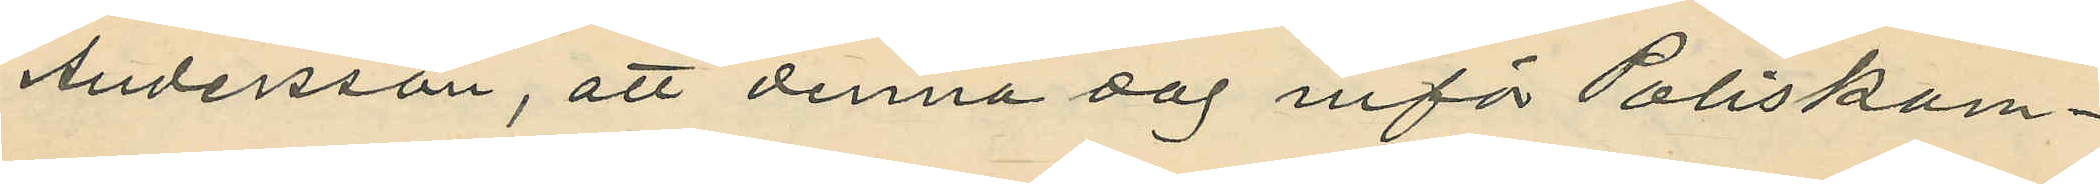Andersson, att denna dag inför Poliskam¬
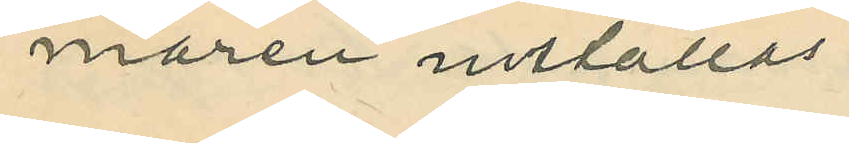maren inställas.
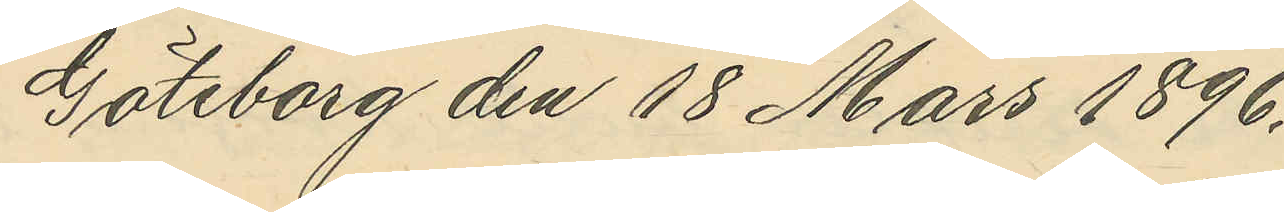Göteborg den 18 Mars 1896.
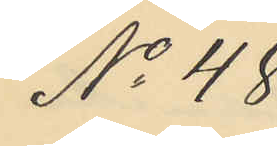No 48
